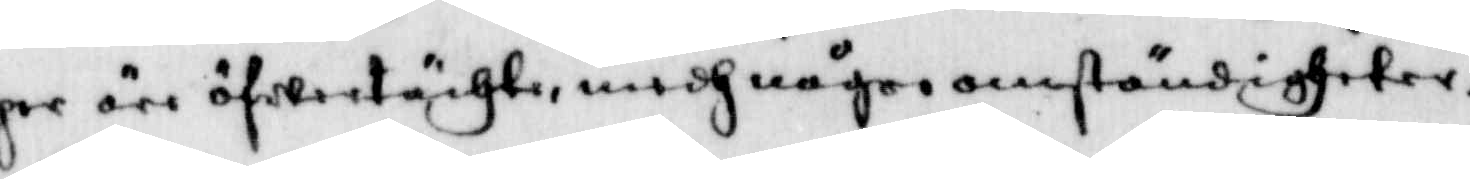per äre öfwertächte, medh någre omständigheter,
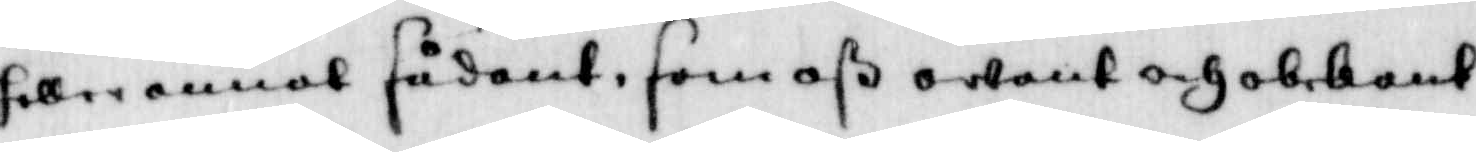heller annat sådant, som oß ownat och obekant
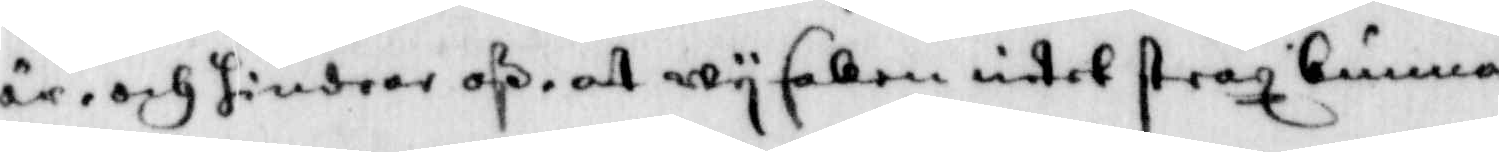är, och hindrar oß at wy saken intet straz kunna
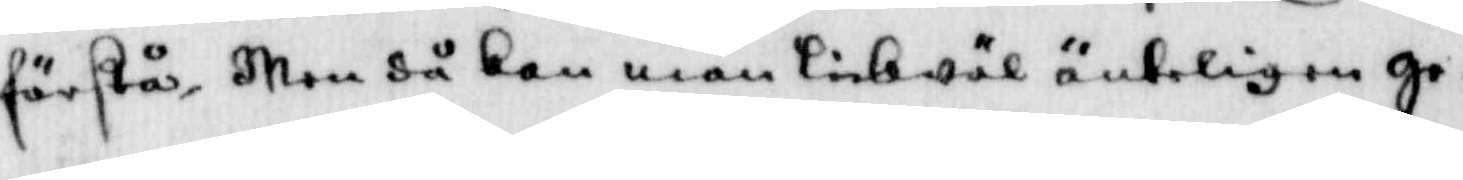förstå, Men då kan man likwäl änteligen ge¬
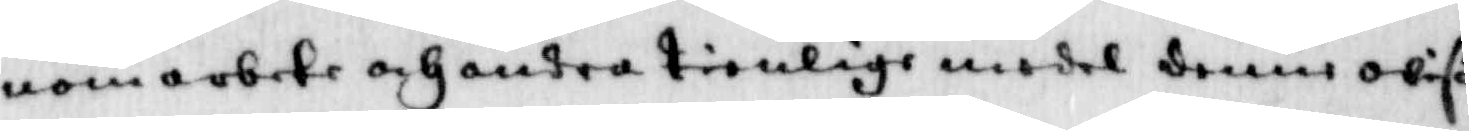nom arbete och andra tienlige medel denne owiß¬
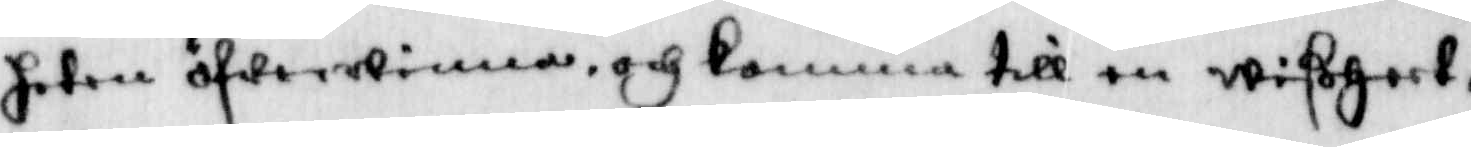heten öfwerwinna, och komma till en wißheet,
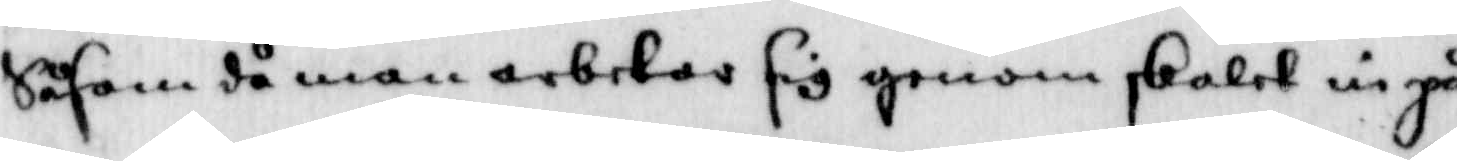Såsom då man arbetas sig genom skalet in på
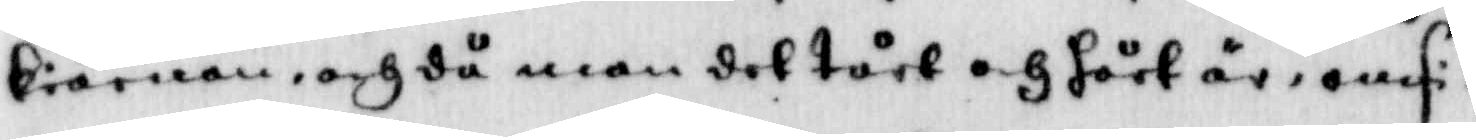kiärnan, och då man det tårt och hört är, omsi¬
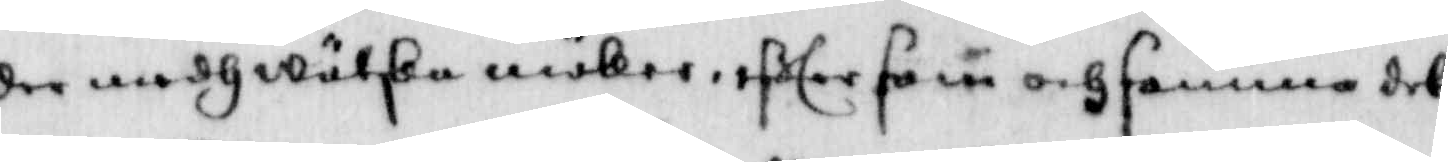der medh wätska möker, efter som och samma det
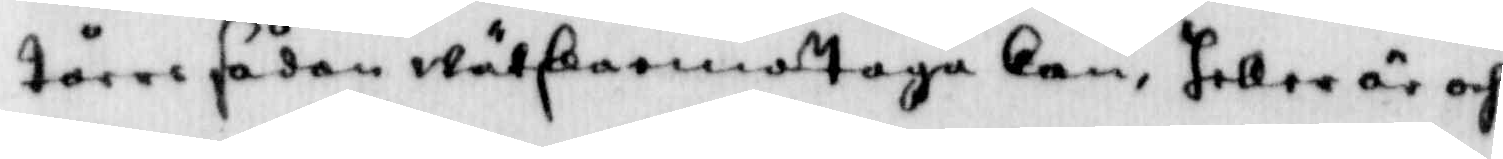tårer sådan wätska emottaga kan, heller är och
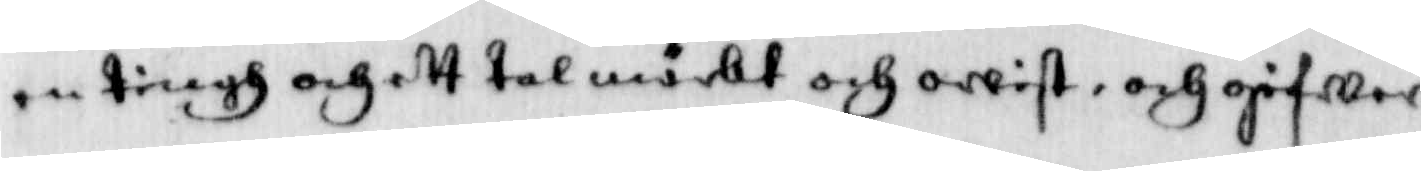en tingh och ett tal mörkt och owist, och gifwer
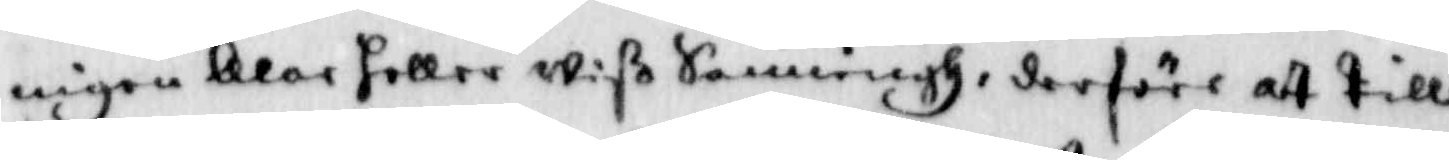ingen klar heller wiß Sanningh, derföre att till
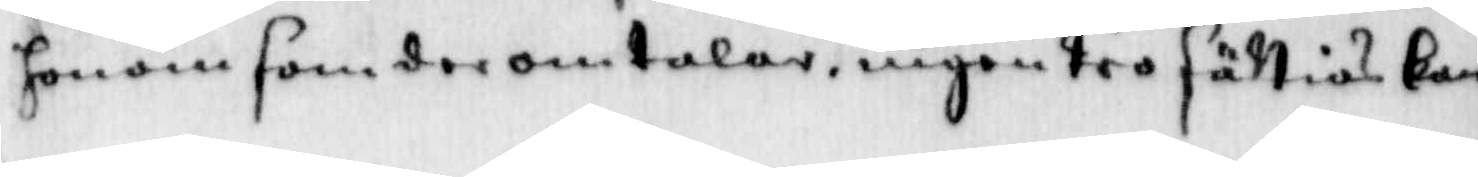honom som der omtalar, ingen tro sättias kan
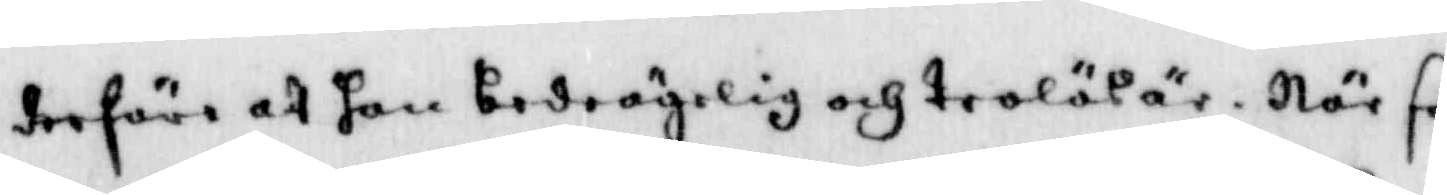derföre at han bedrägelig och trolös är, När så
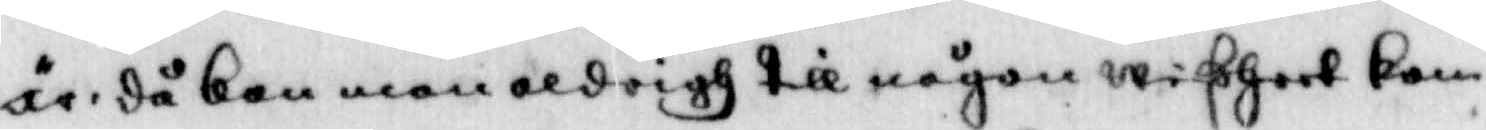är då kan man saldrigh till någon wißheet kom¬
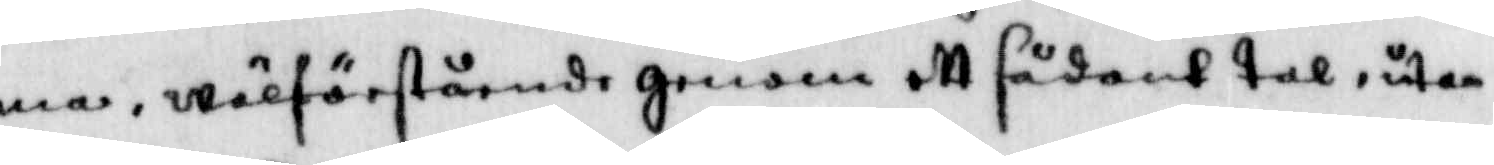ma, wälförstående genom att sådant tal, utan
